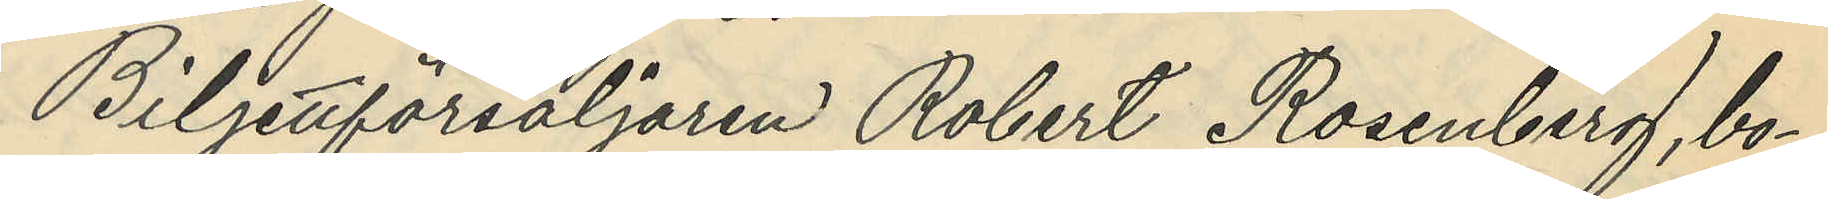Biljettförsäljaren Robert Rosenberg, bo¬
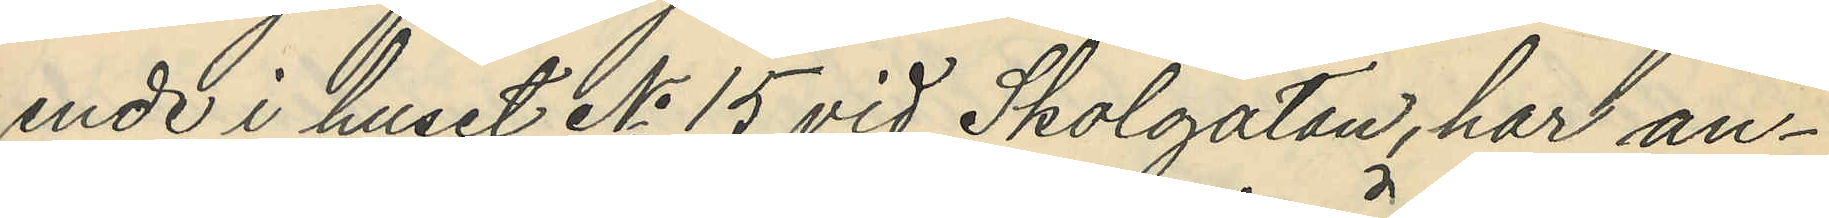ende i huset No 15 vid Skolgatan, har an¬
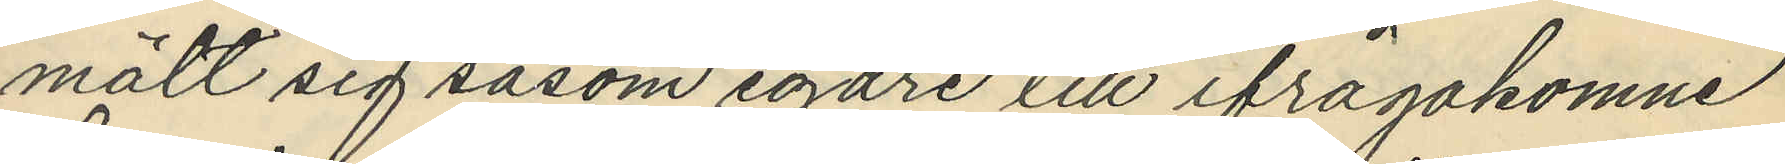mält sig såsom egare till ifrågakomne
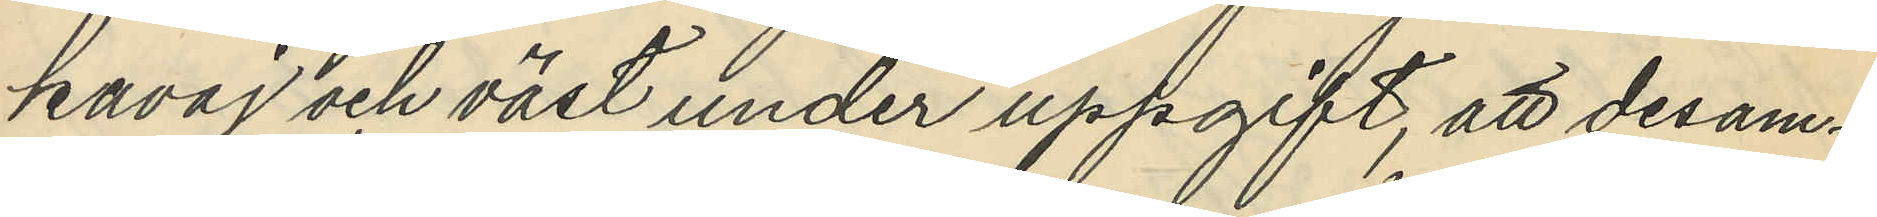kavaj och väst under uppgift, att desam¬
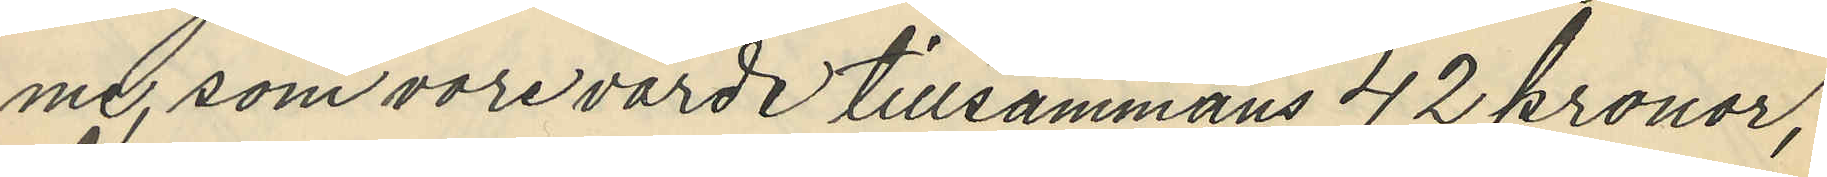me, som vore värda tillsammans 42 kronor,
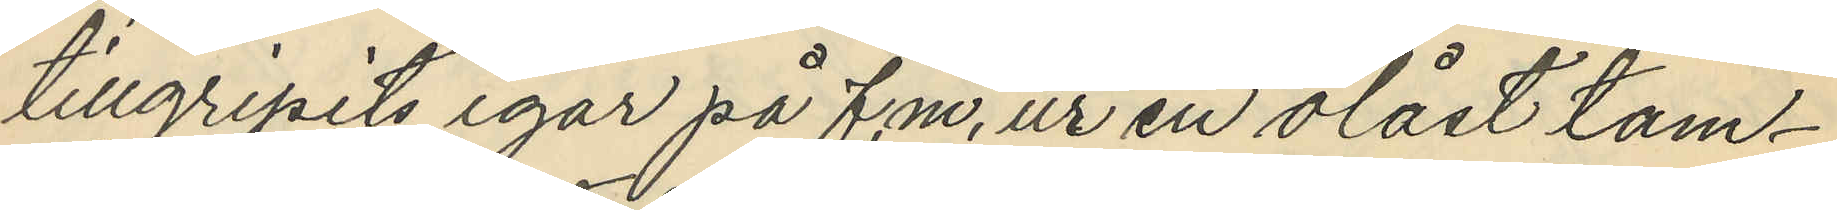tillgripits igår på f.m, ur en olåst tam¬
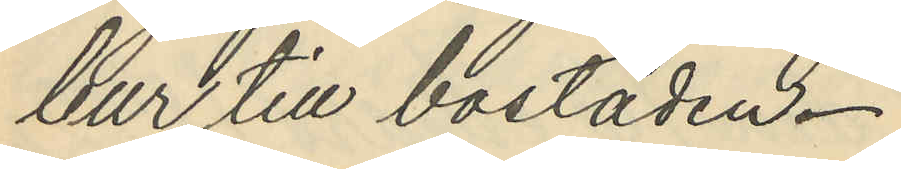bur till bostaden.
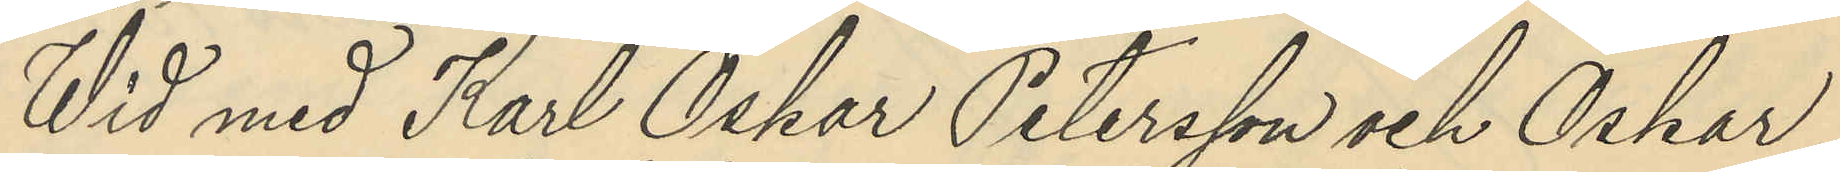Wid med Karl Oskar Petersson och Oskar
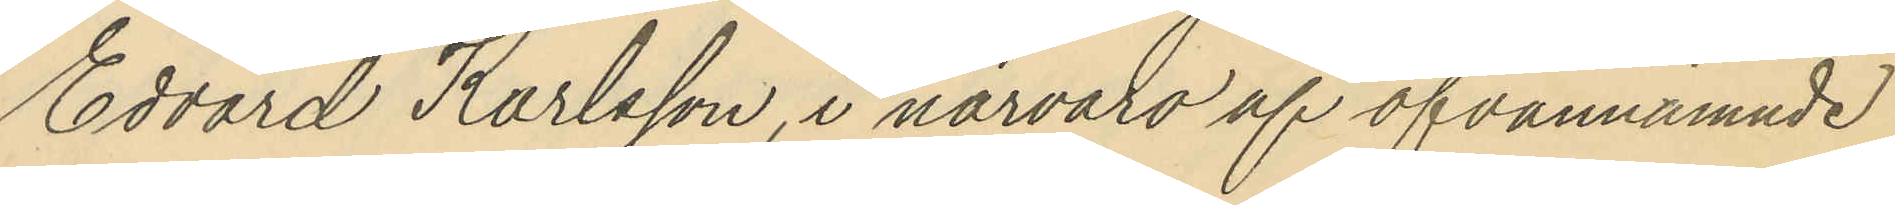Edvard Karlsson, i närvaro af ofvannämnde
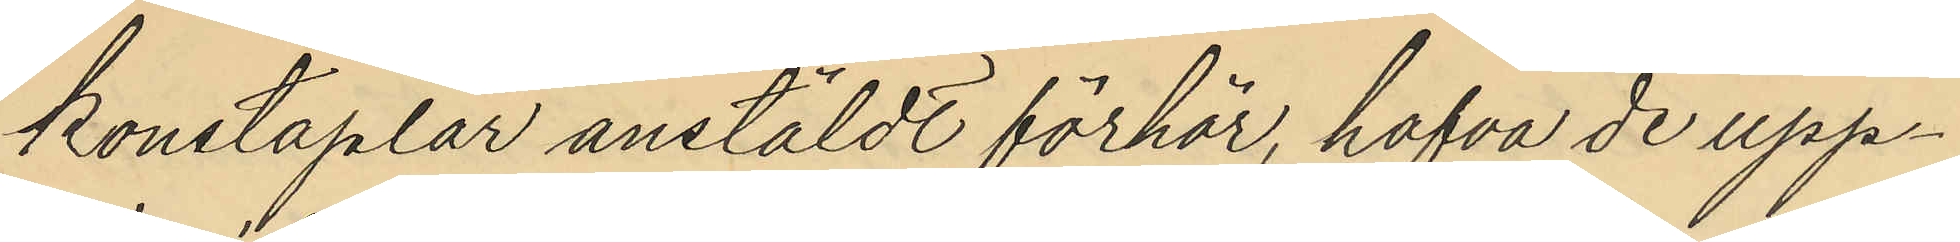konstaplar anstäldt förhör, hafva de upp¬
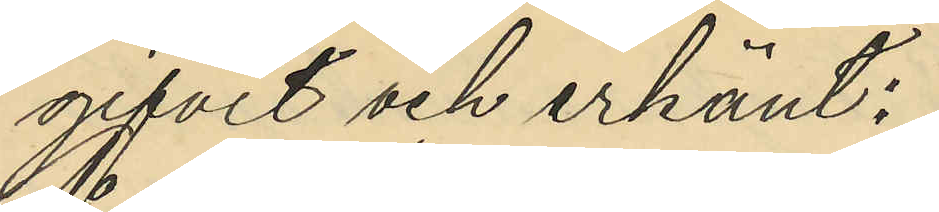gifvit och erkänt:
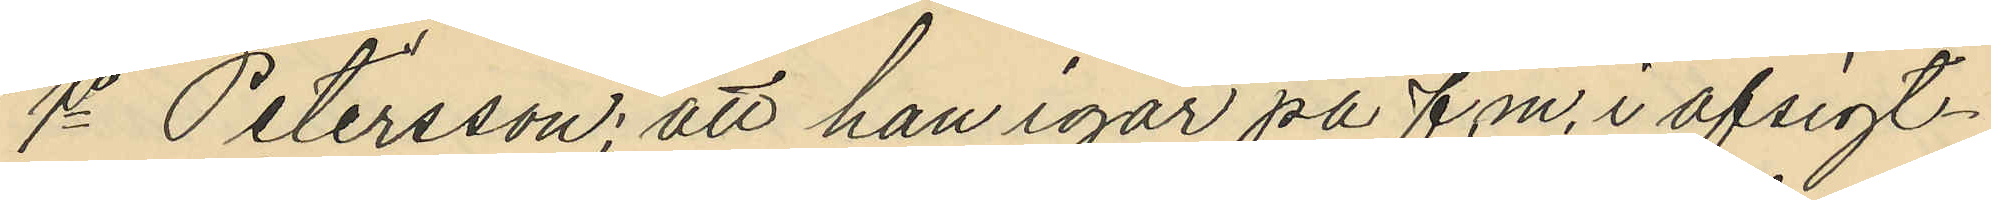1o Petersson; att han igår på f.m, i afsigt¬
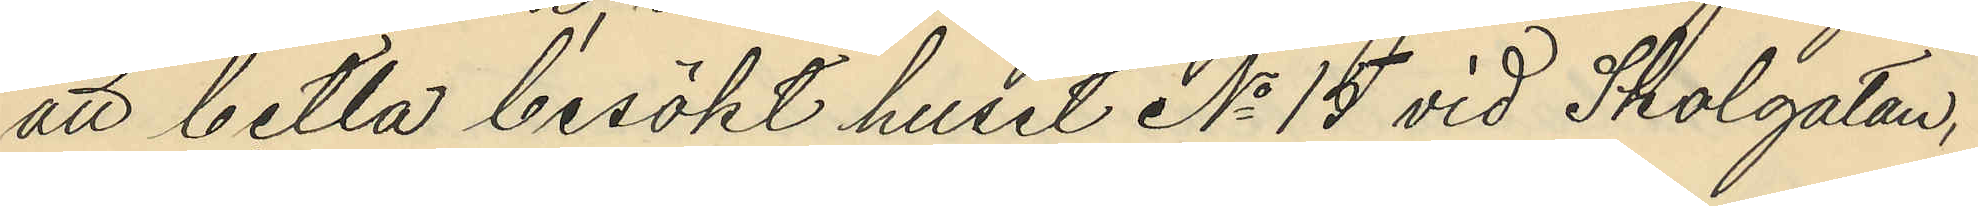att betla besökt huset No 15 vid Skolgatan,
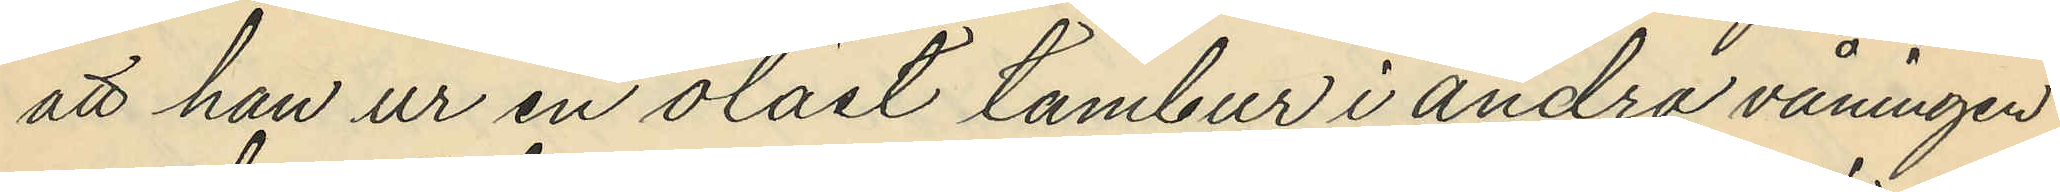att han ur en olåst tambur i andra våningen
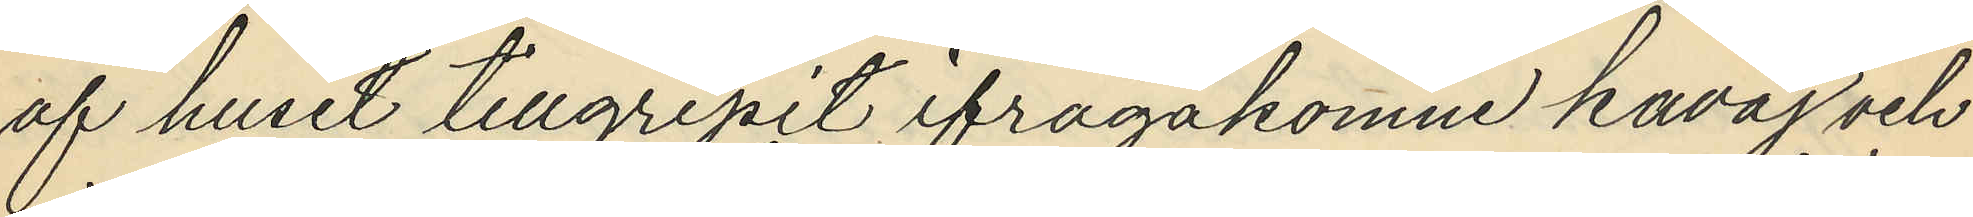af huset tillgripit ifrågakomne kavaj och
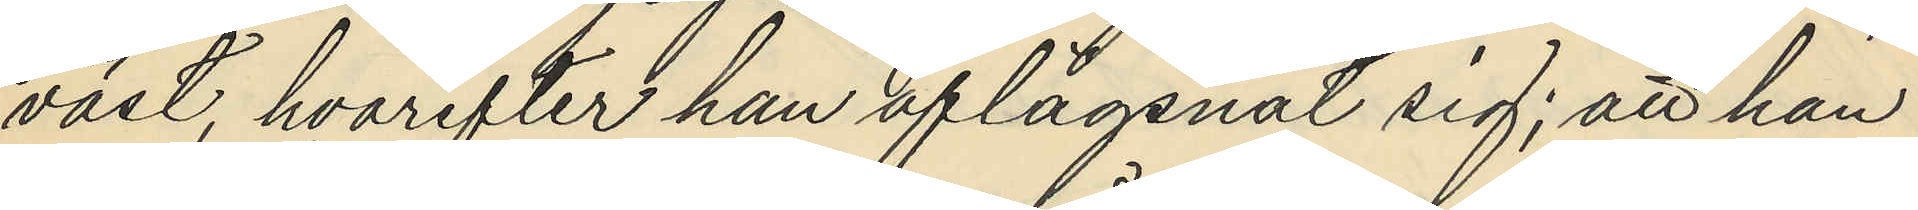väst, hvarefter han aflägsnat sig; att han
